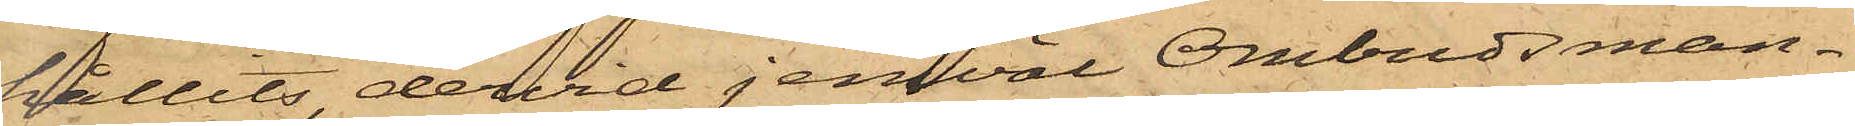hållits dervid jemväl Ombudsman¬
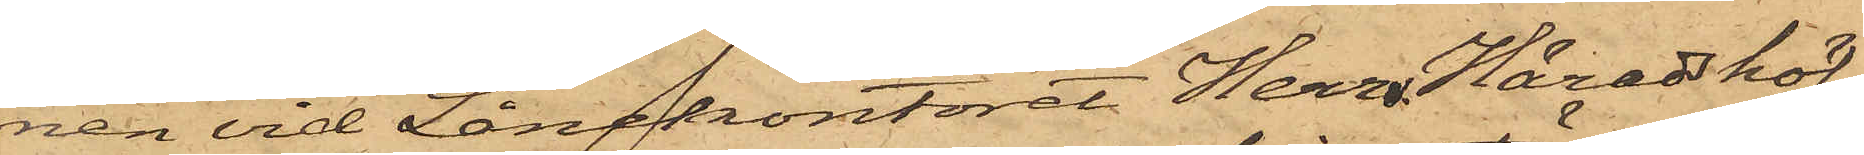nen vid Lånekontoret Herr Häradshöf¬
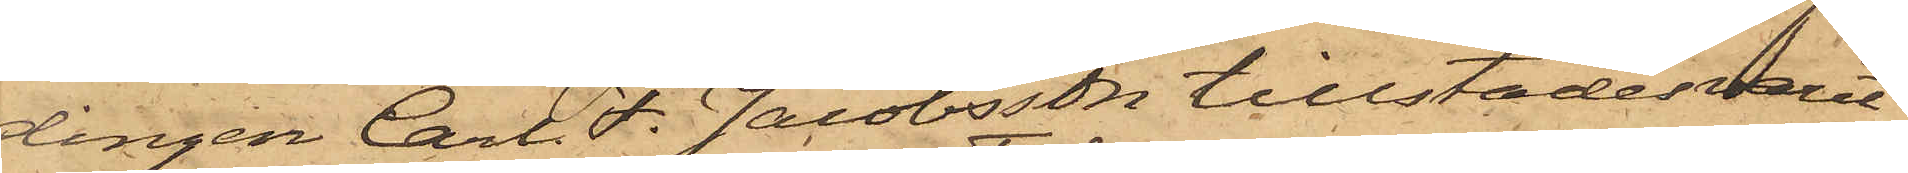dingen Carl F. Jacobsson tillstädesvarit
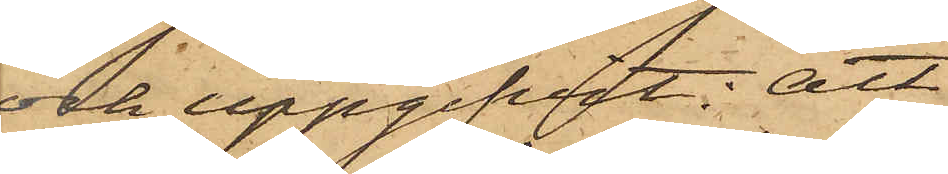och uppgifvit: att
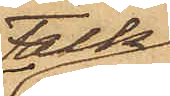Falk
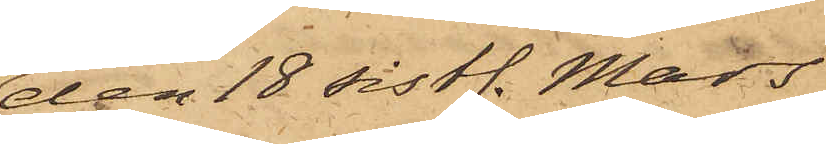den 18 sistl. Mars
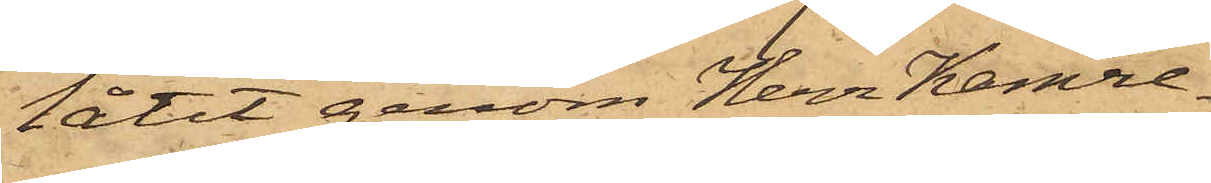låtit genom Herr Kamre¬
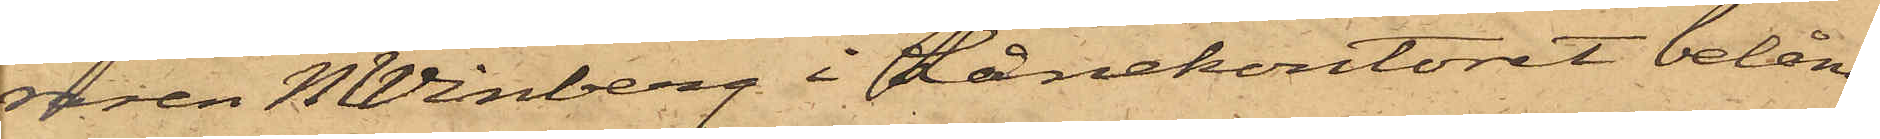raren N Winberg i Lånekontoret belåna
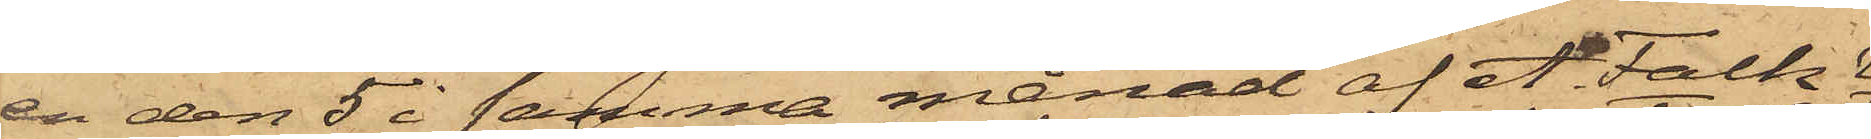en den 5 i samma månad af A. Falk
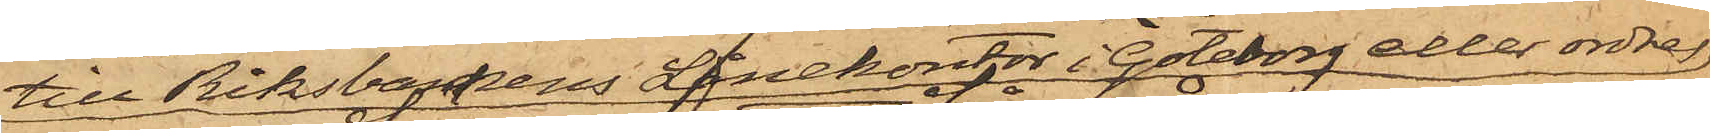till Riksbankens Lånekontor i Göteborg eller ordres
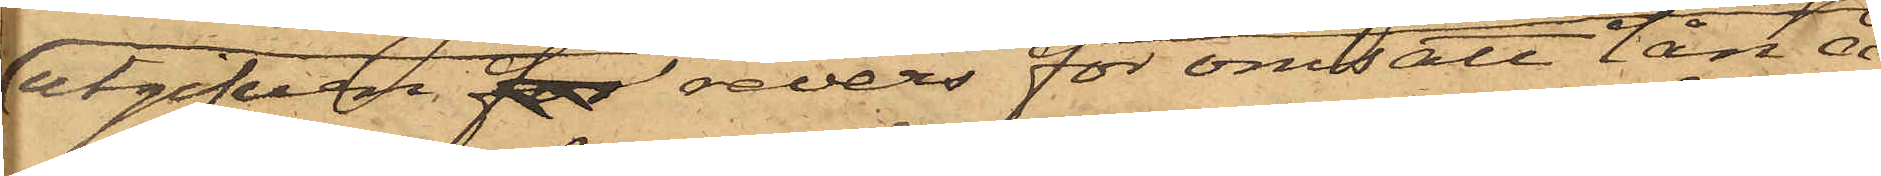utgifven for revers för omsatt lån å
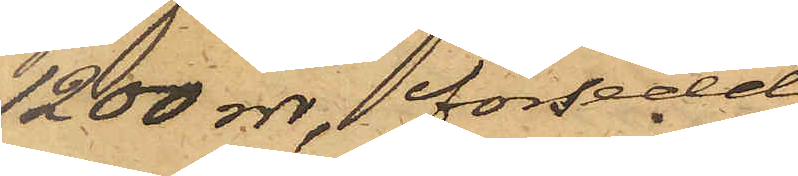1200 rdr, försedd
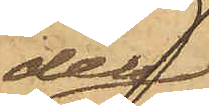dels
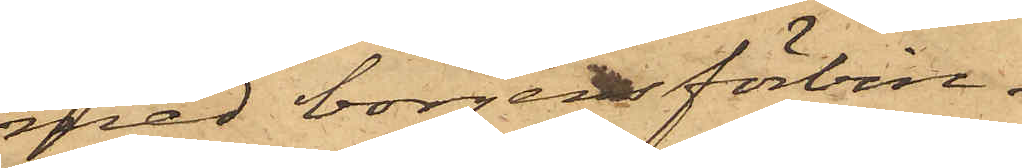med borgensförbin¬
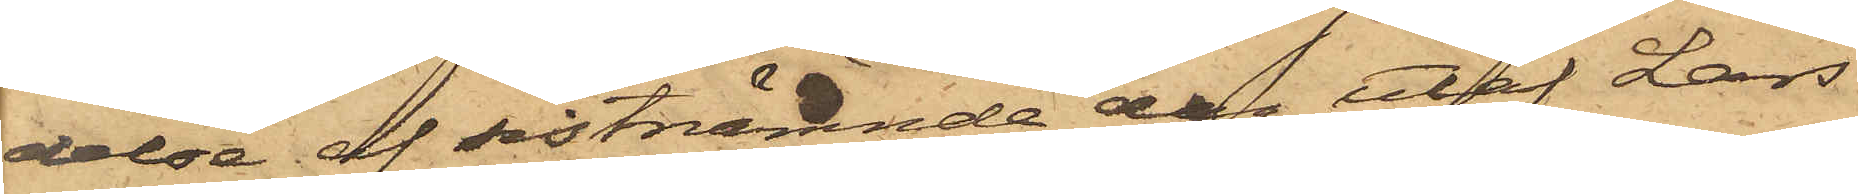delse af sistnämnde dag utaf Lars
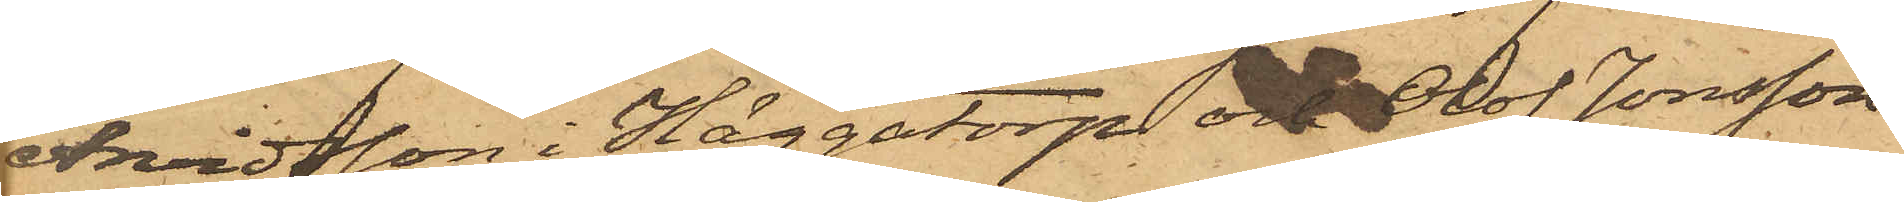Arvidsson i Häggatorp och Olof Jonsson
